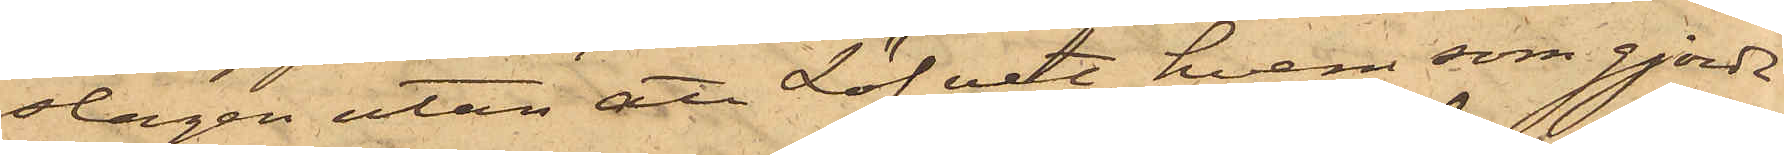slagen utan att Löf vet hvem som gjordt
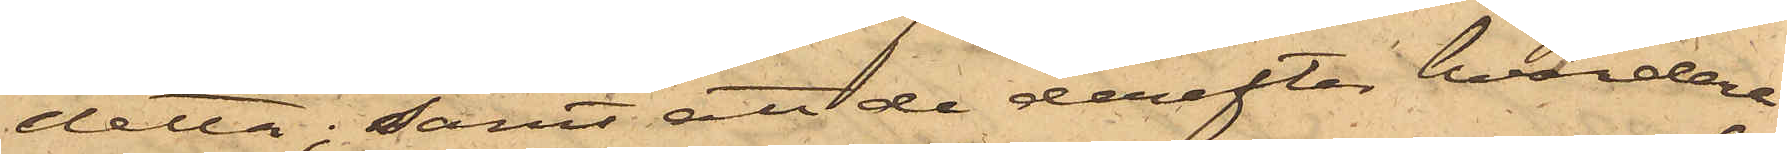detta; samt att de derefter hvardera
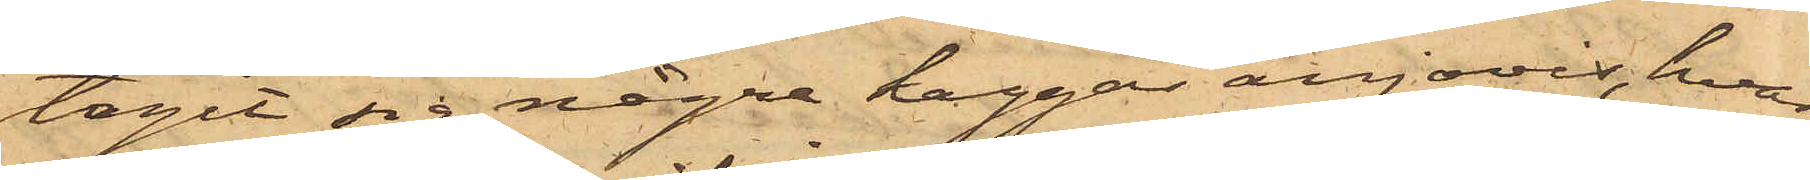tagit sig några kaggar anjovis, hvar¬
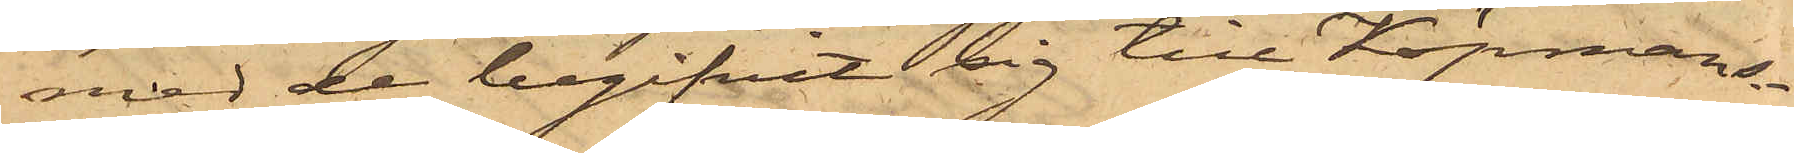med de begifvit sig till Köpmans¬
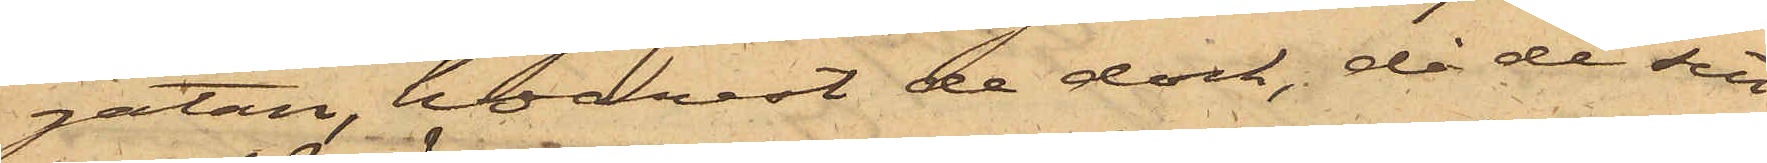gatan, hvarest de dock, då de sett
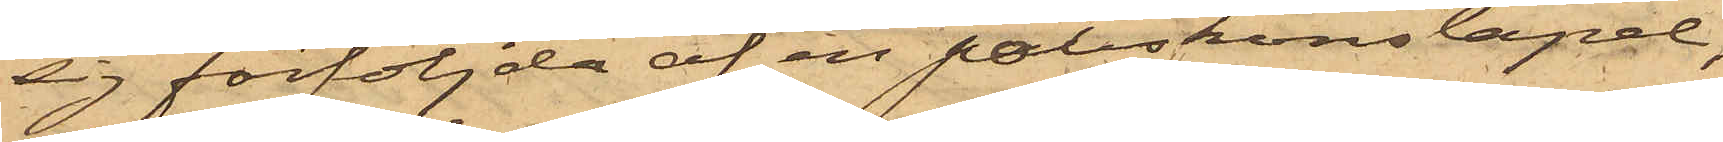sig förföljde af en poliskonstapel,
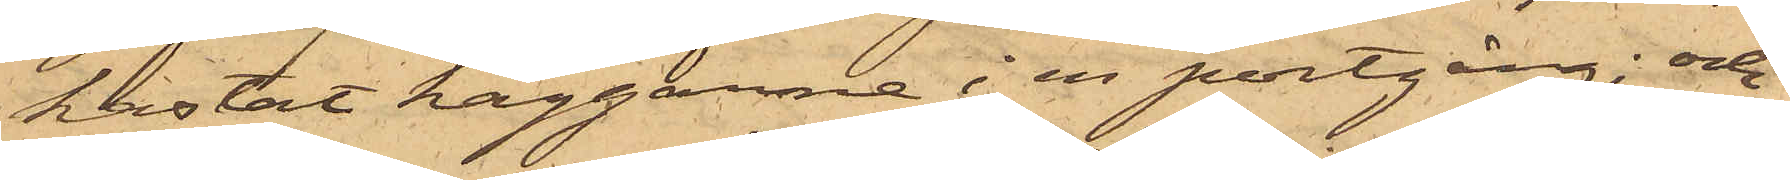kastat kaggarne i en portgång; och
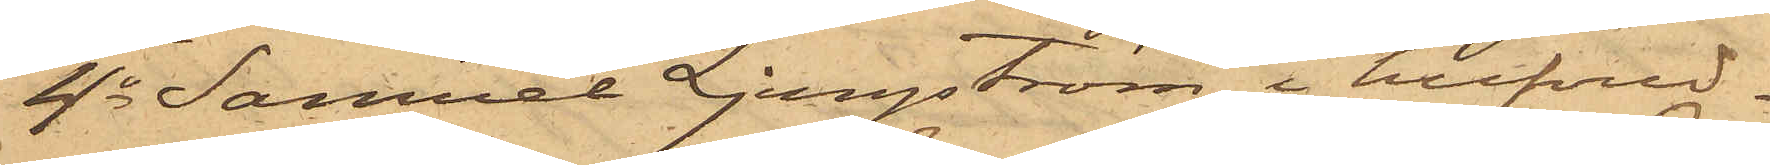4o Samuel Ljungström, i hufvud¬
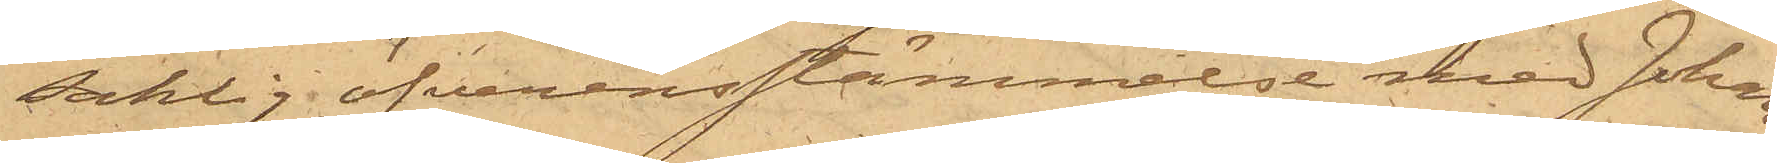saklig öfverensstämmelse med Johan
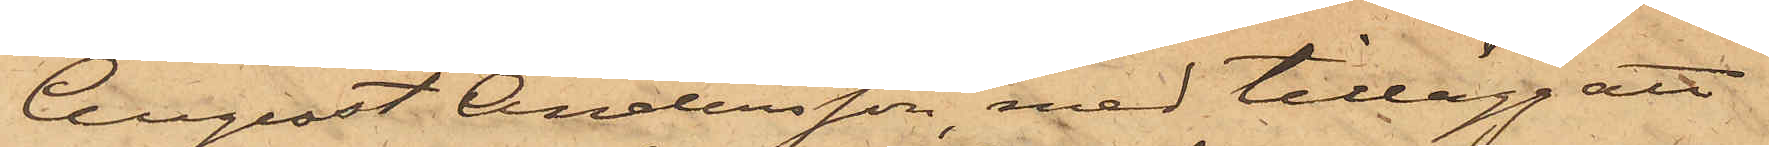August Andersson, med tillägg att
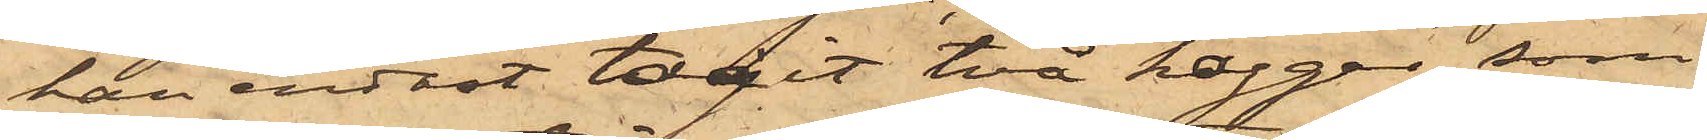han endast tagit två kaggar, som
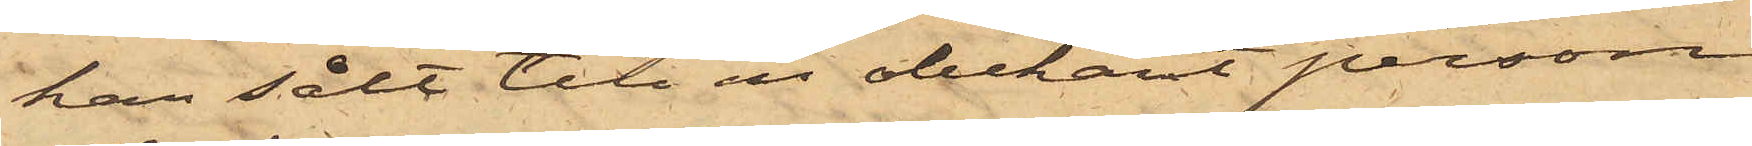han sålt till en obekant person
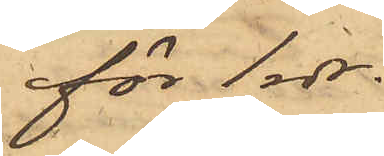för 1 rdr.
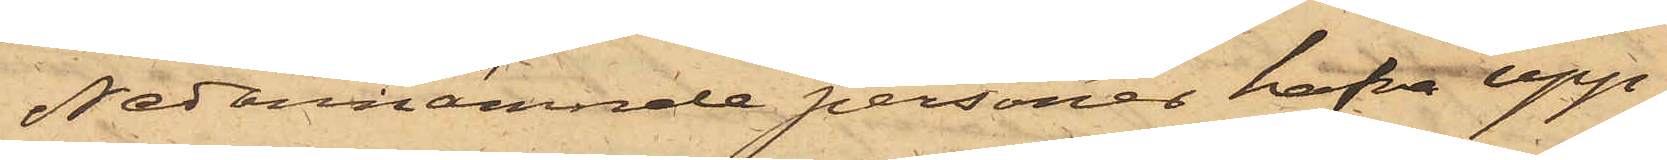Nedannämnde personer hafva upp¬
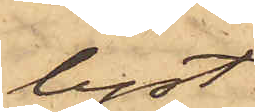lyst.
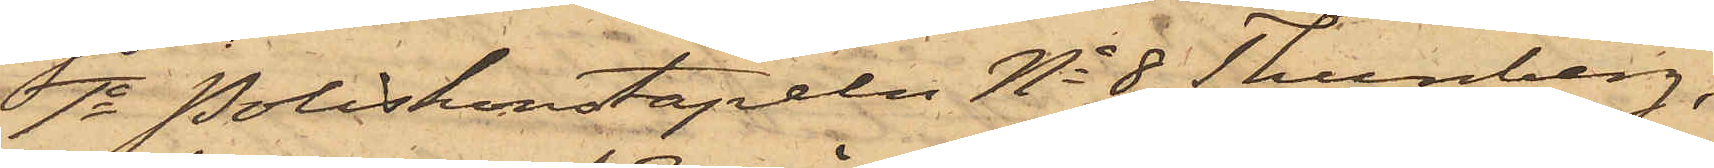1o Poliskonstapeln No 8 Thunberg,
